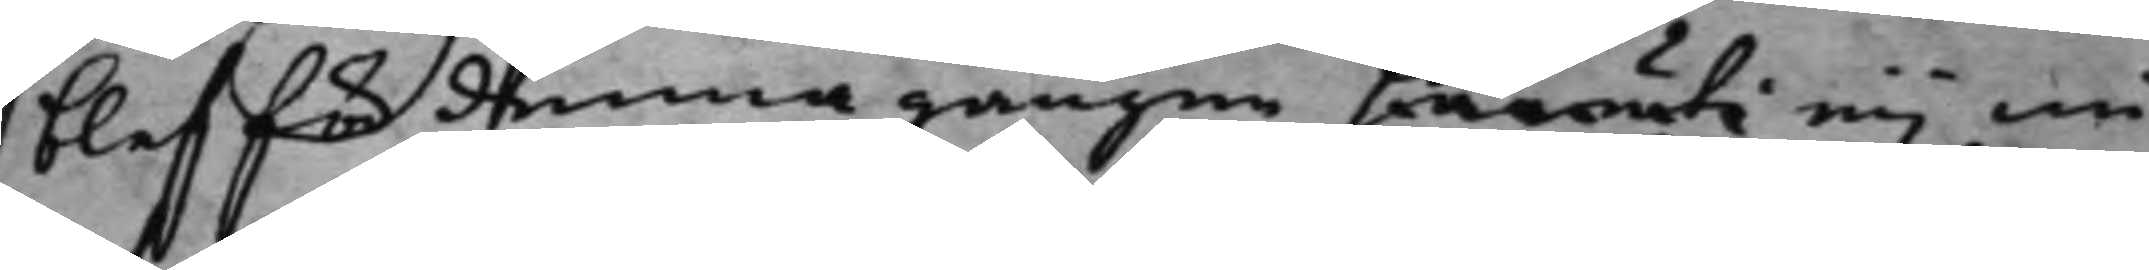blef för denna gången härruti eij nå¬
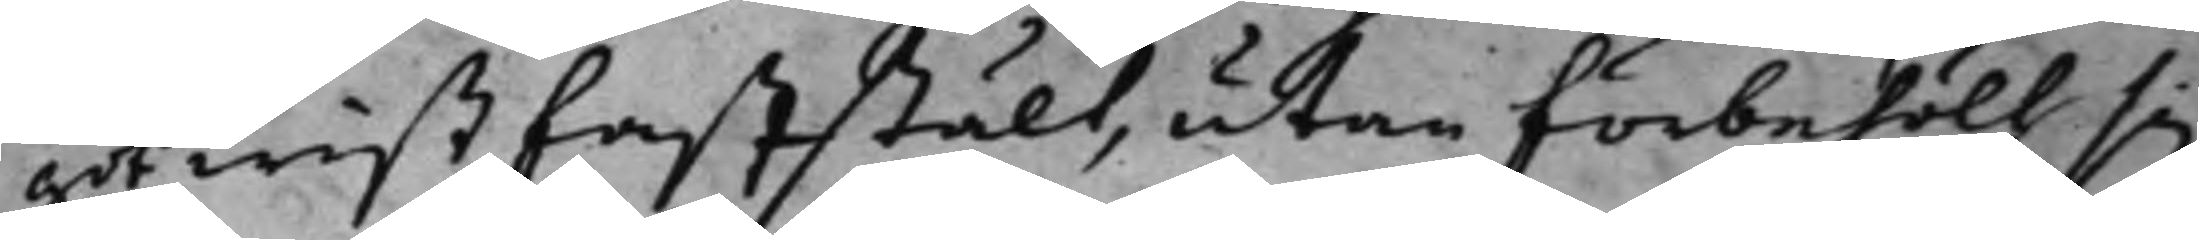got wist faststält, utan förbehölt sig
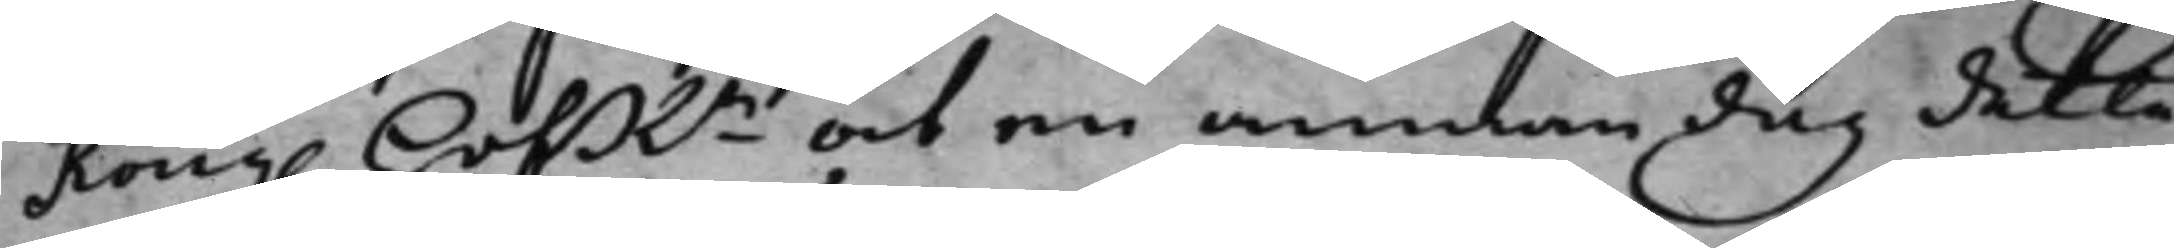Kong. HofRn at en annan dag detta
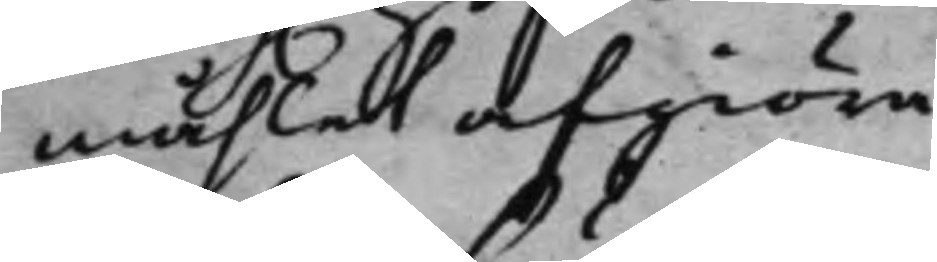måhlet afgiöra.
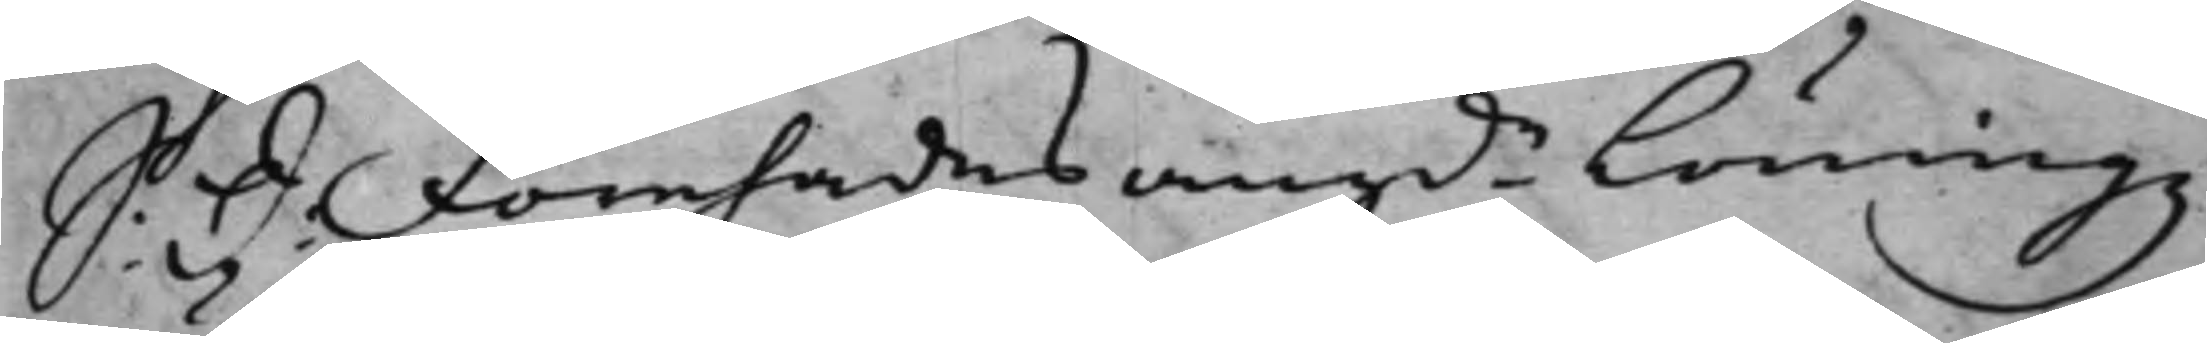S: d: Förehades angde Löningz
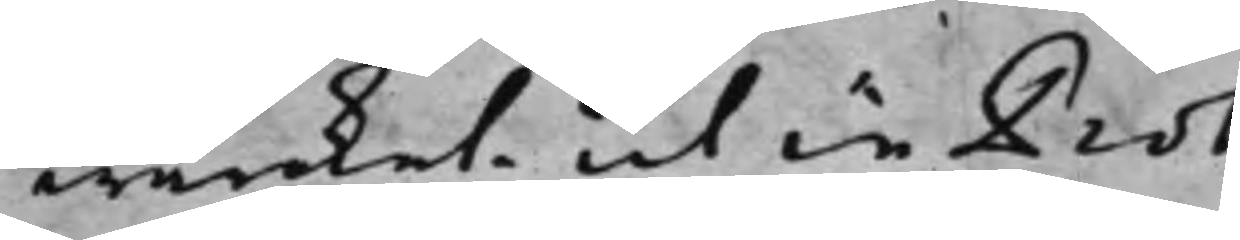wärket, ut in Prot:
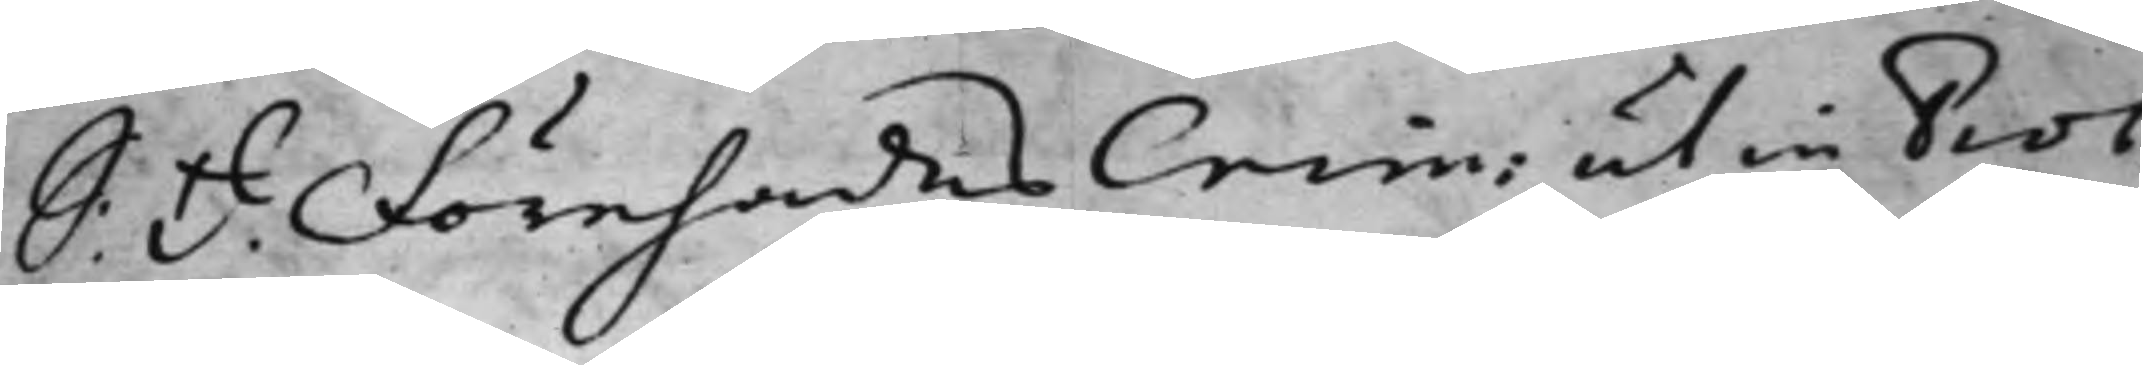S: d: Förehades Crim: ut in Prot:
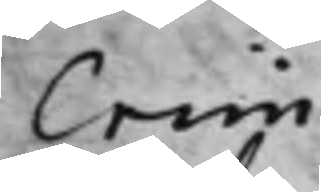Crim:
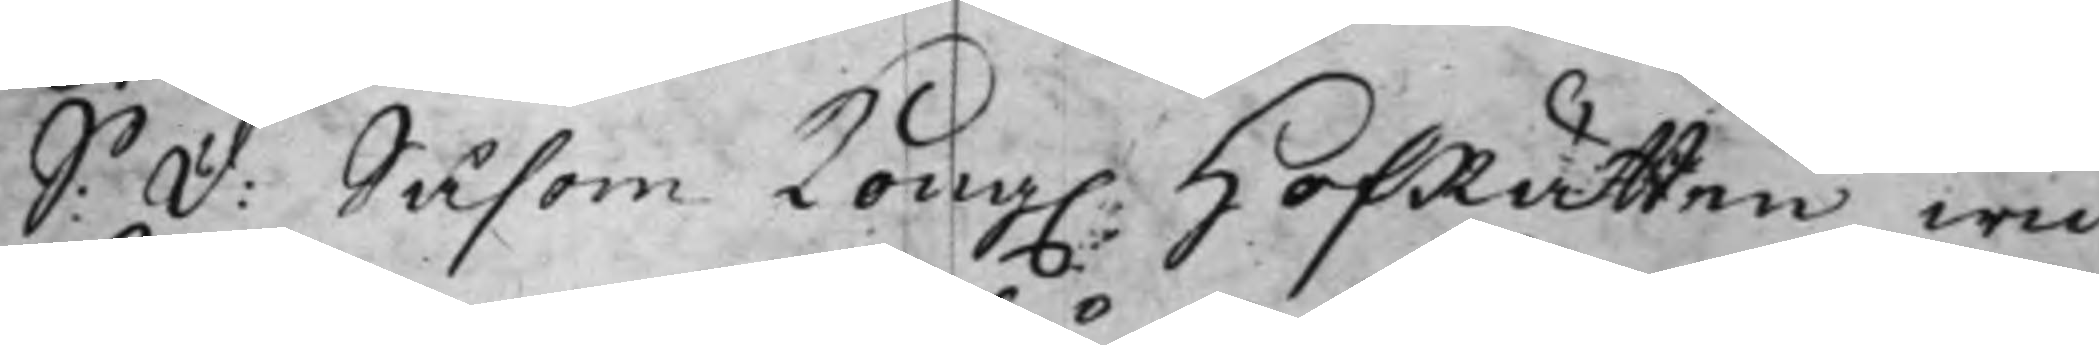S: d: Såsom Kong. HofRätten wid
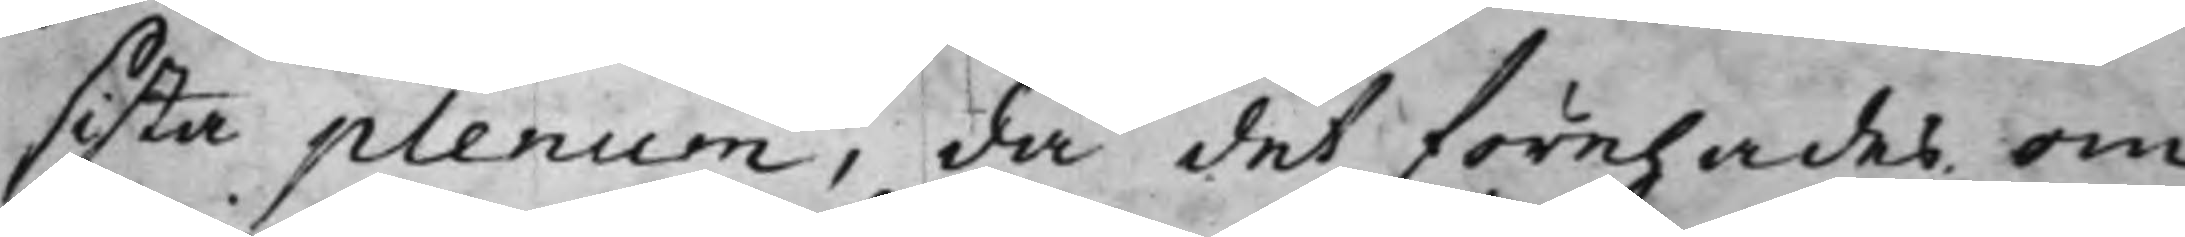sista plenum, då det förehades om
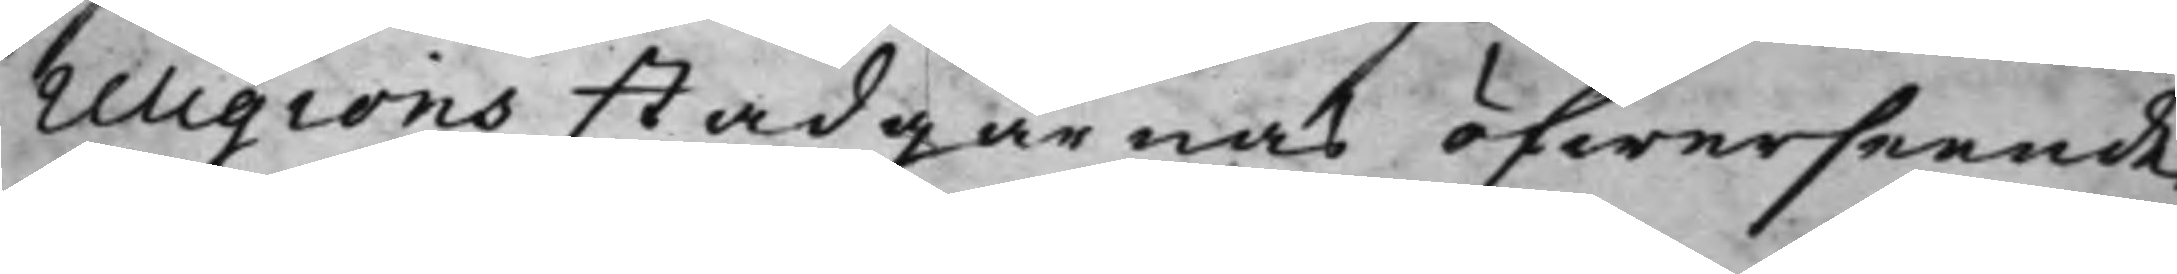religions stadgarnas öfwerseende,
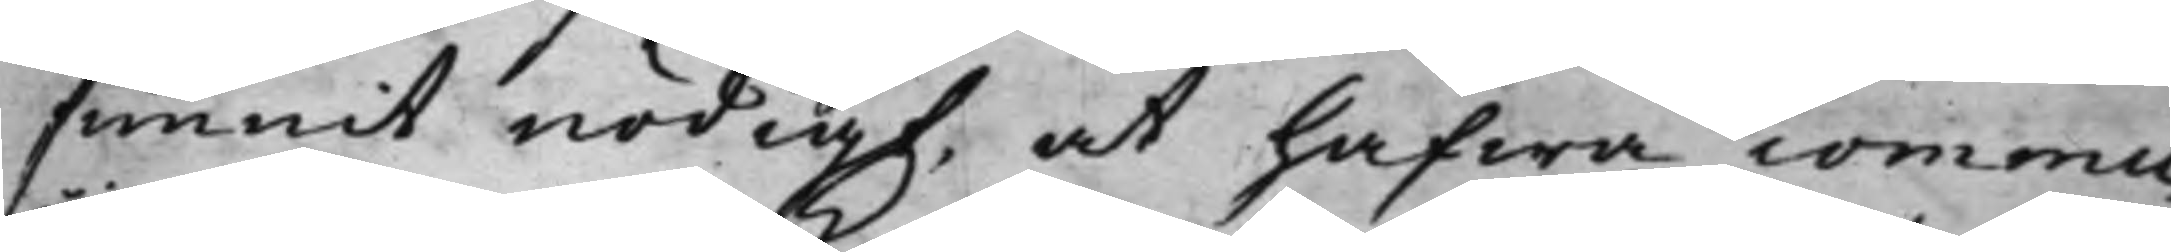funnit nödigt, at hafwa commu¬
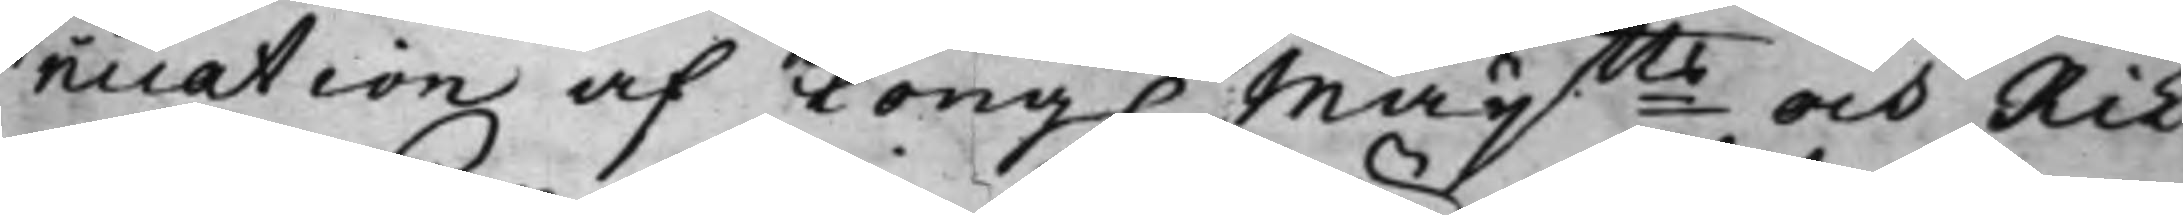nication af Kong. Maytts och Rik¬
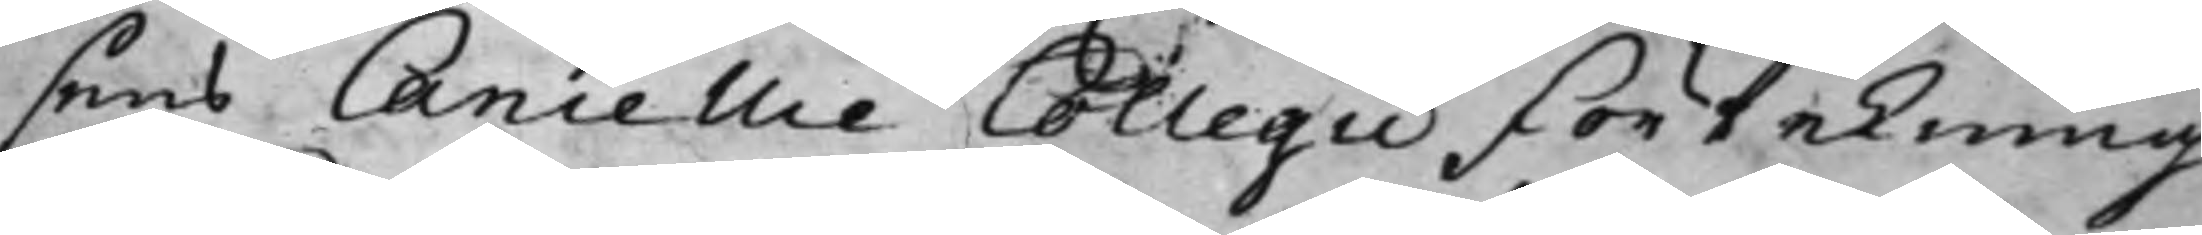sens Cancellie Collegii förtekning
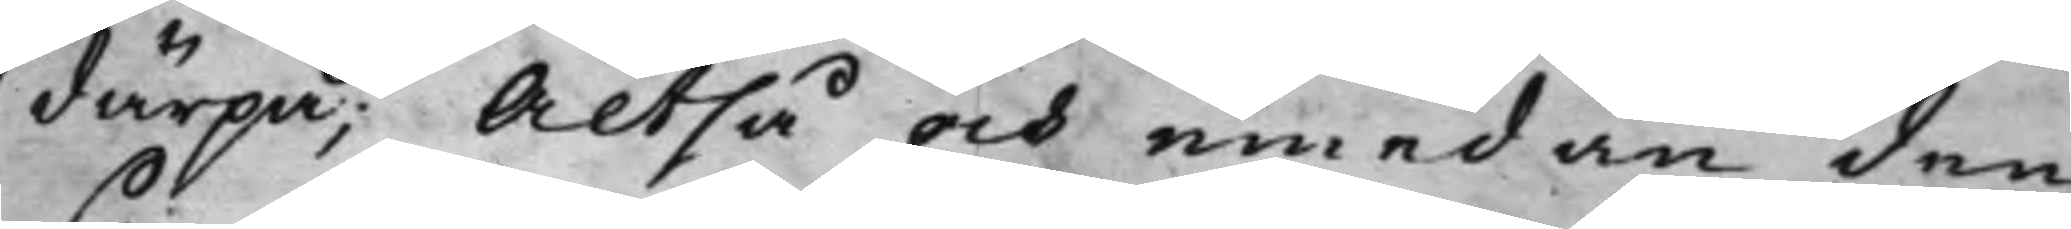därpå, Altså och emedan den
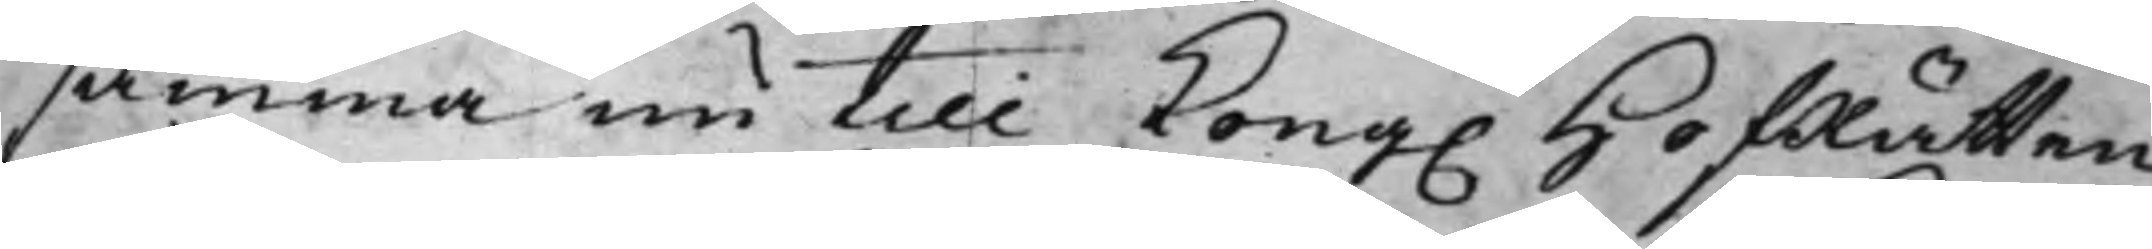samma nu till Kong. HofRätten
